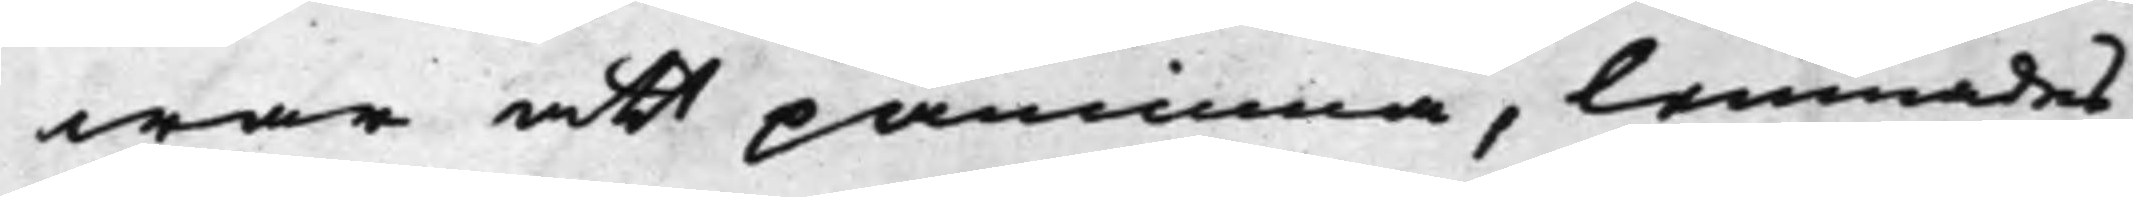war att påminna, lemnades
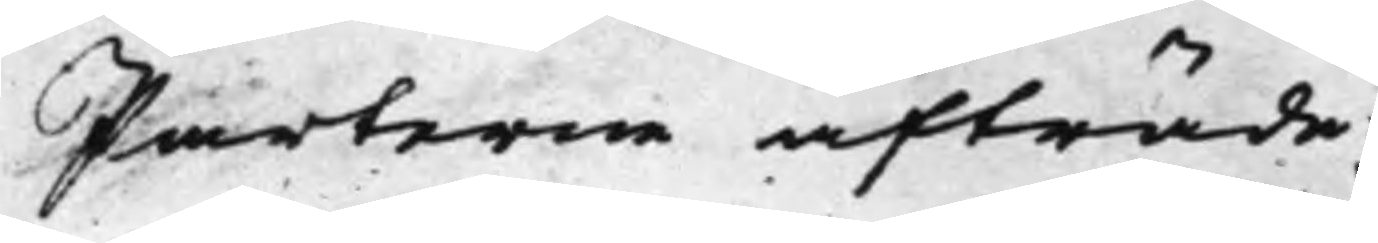Parterne afträde.
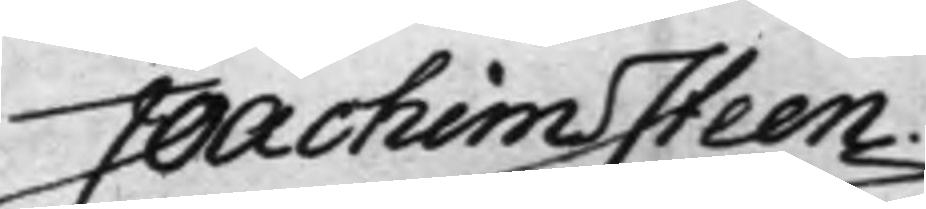Joachim Steen.
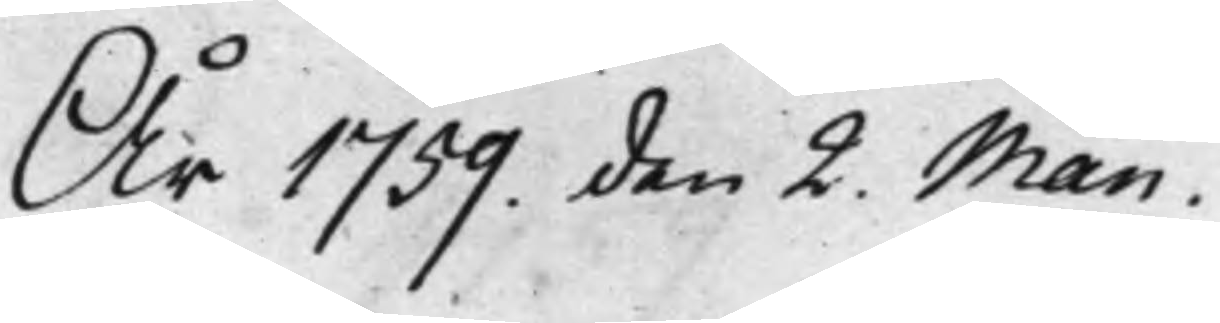År 1759. den 2. Maii.
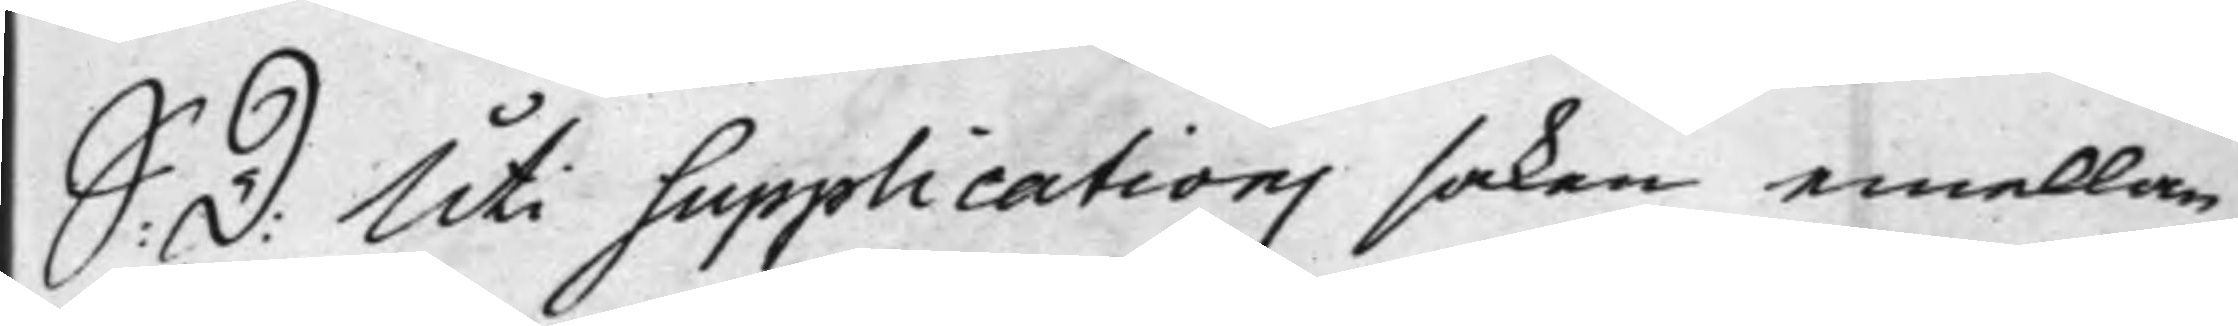S: D: Uti supplications saken emellan
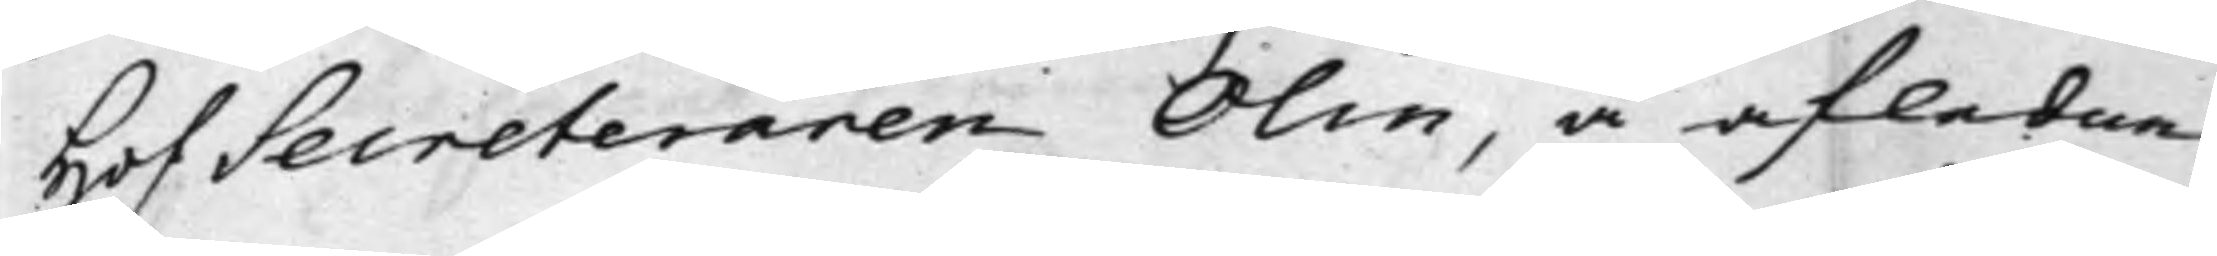HofSecreteraren Olin, å afledne
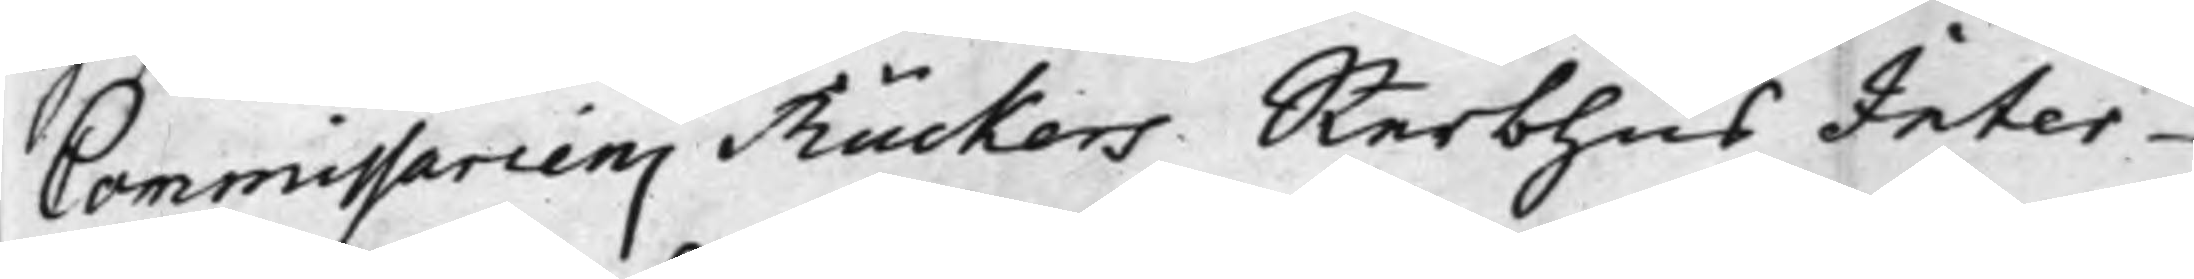Commissariens Rückers Sterbhus Inter¬
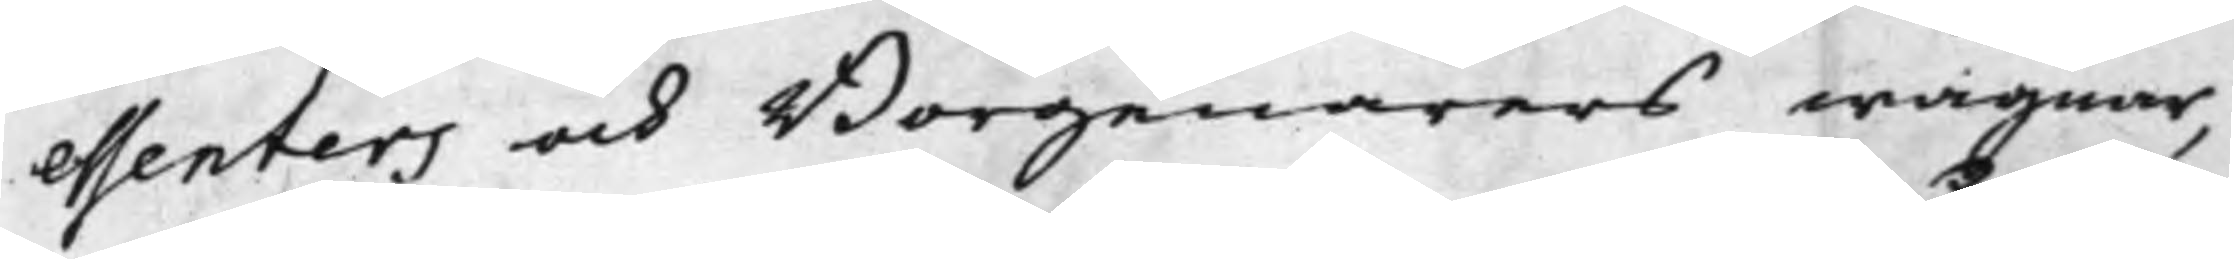essenters och Borgenärers wägnar,
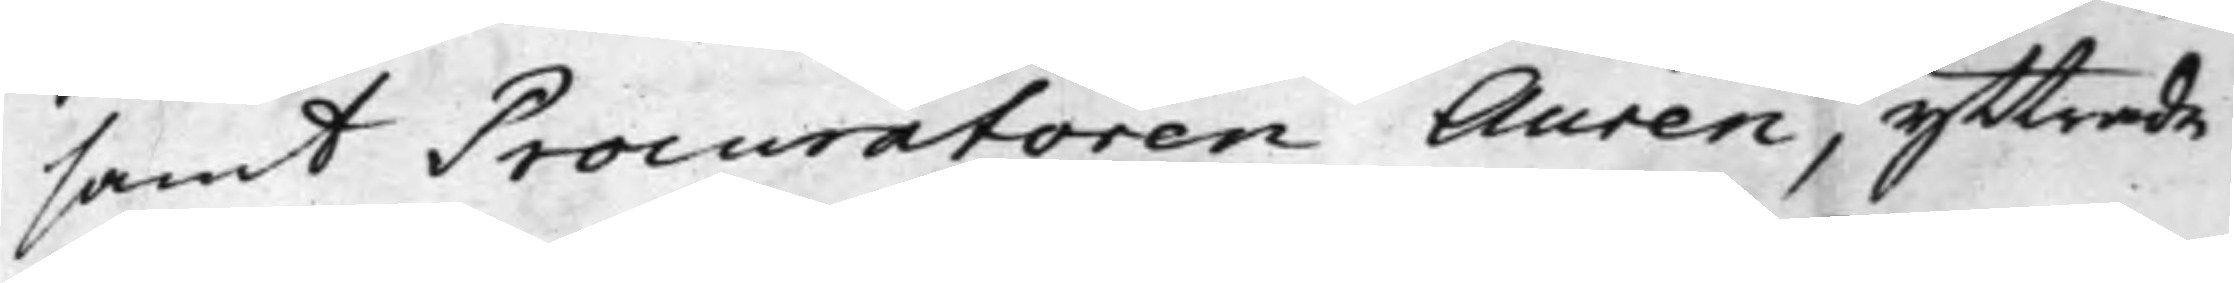samt Procuratoren Aurén, yttrade
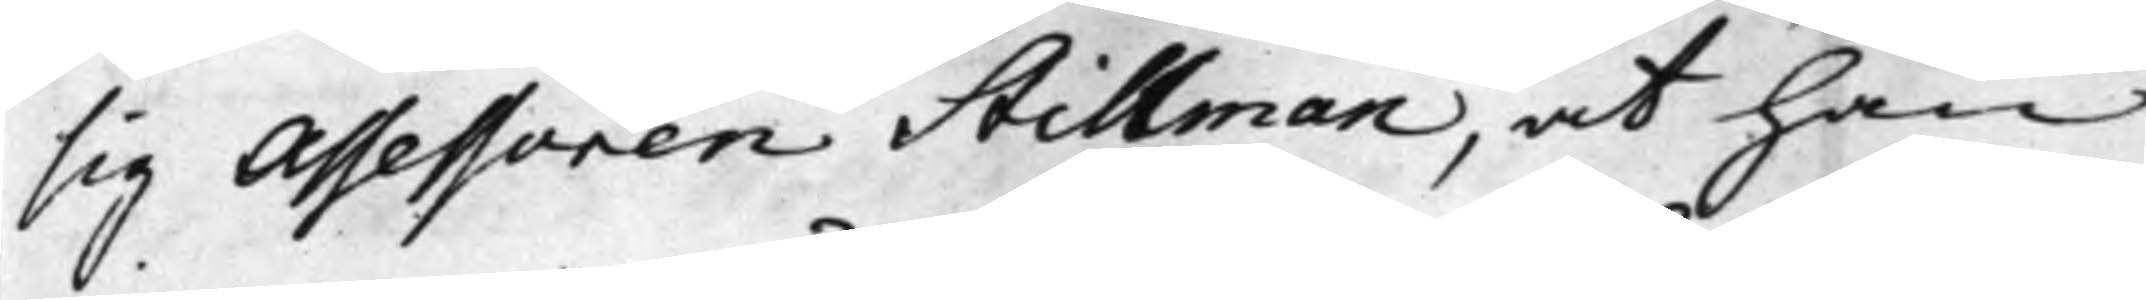sig Assessoren Stillman, at han
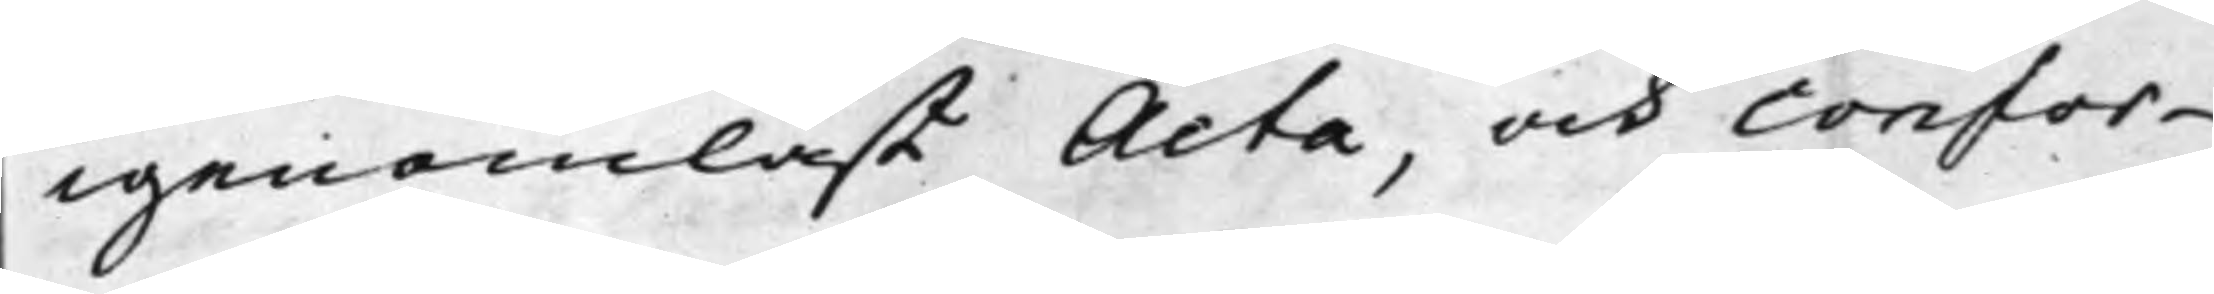igenomläst Acta, och Confor¬
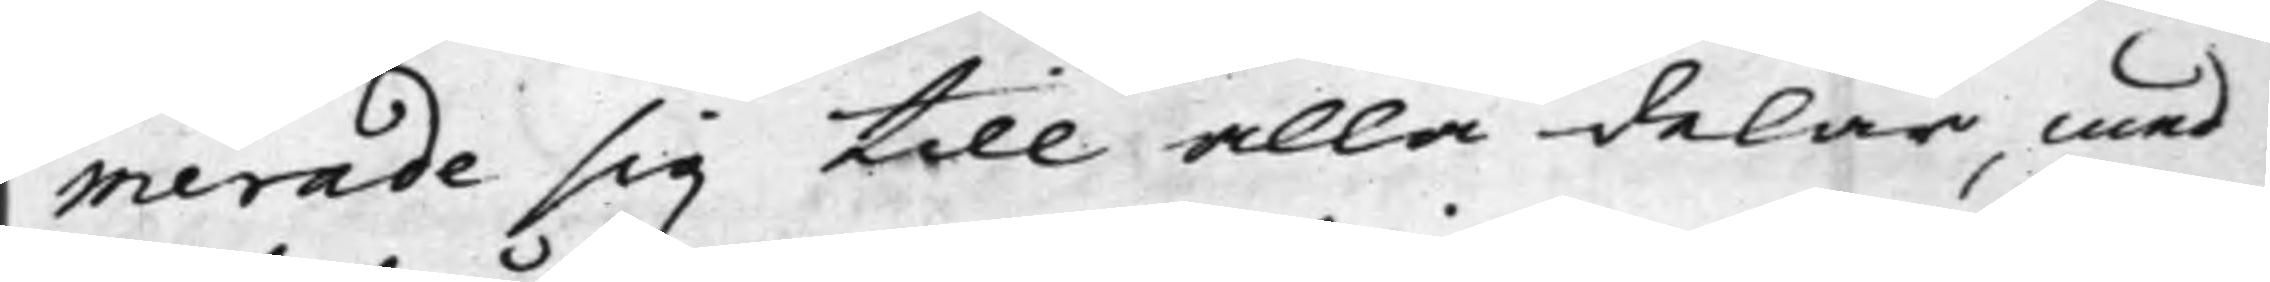merade sig till alla delar, med
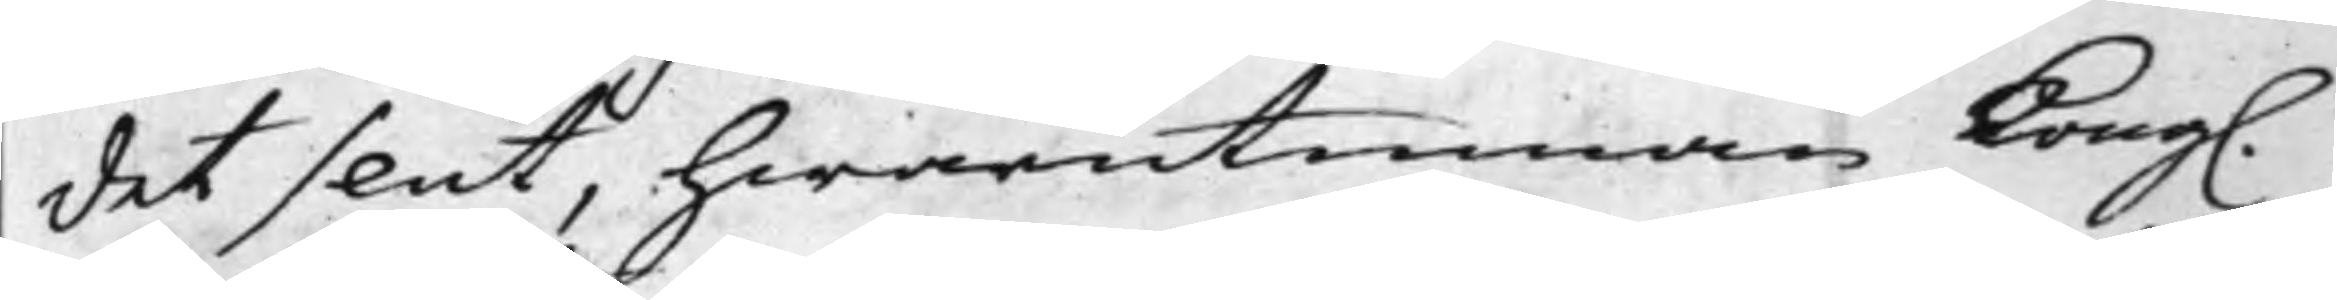det slut, hwarutinnan Kong.
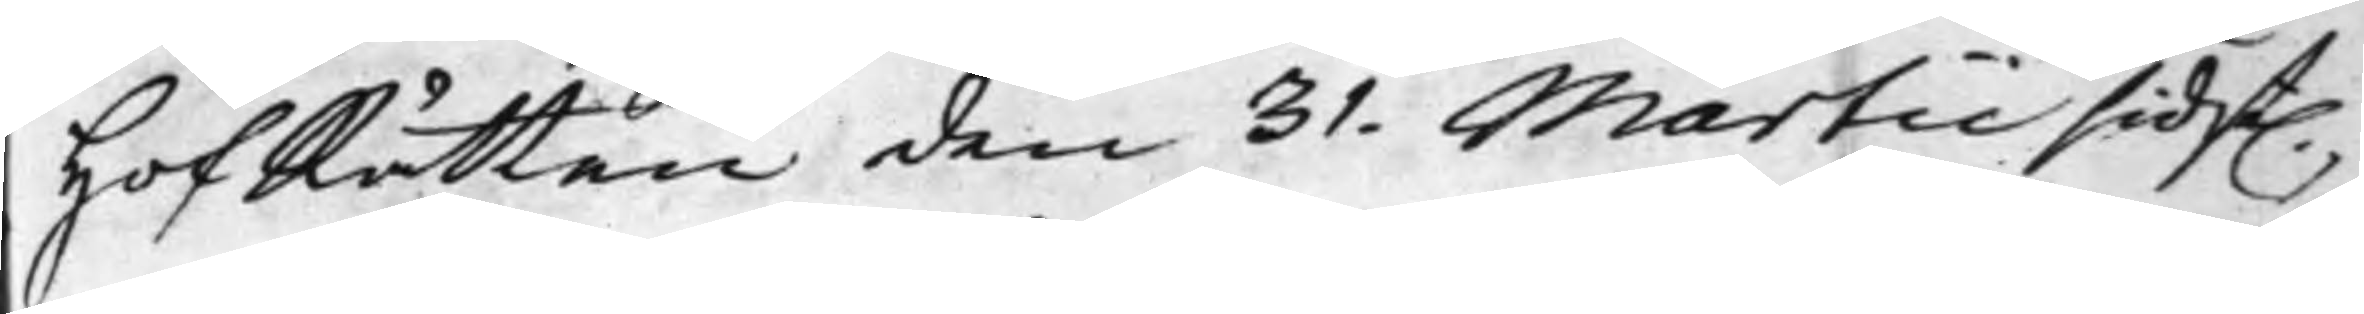HofRätten den 31. Martii sidst.
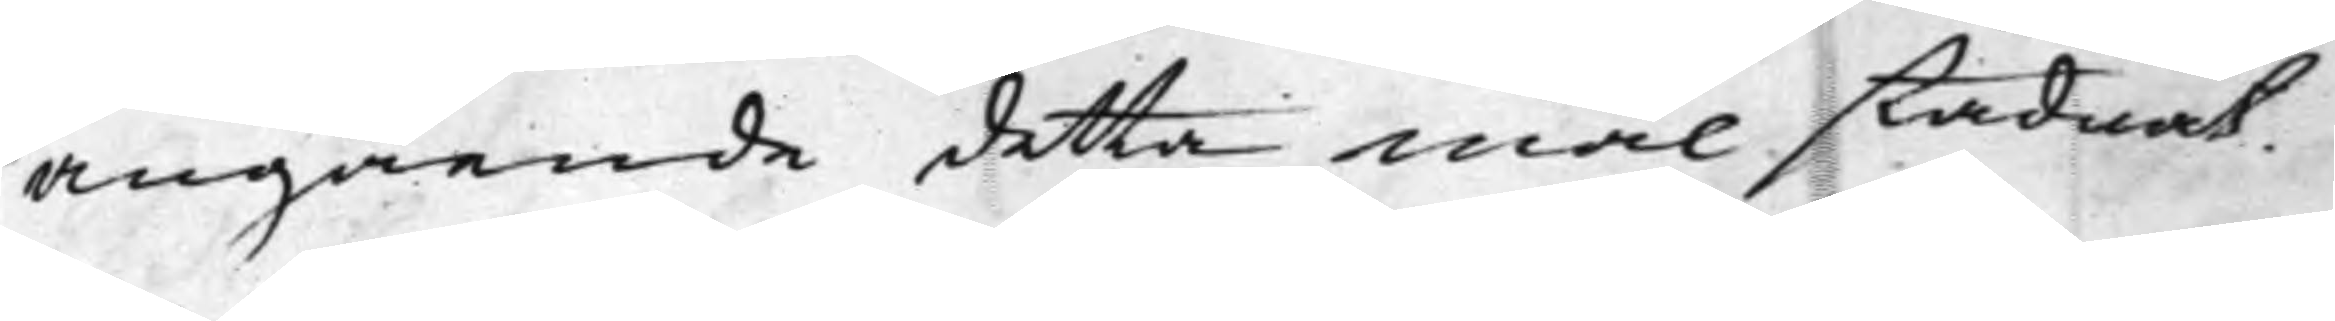angående detta mål stadnat.
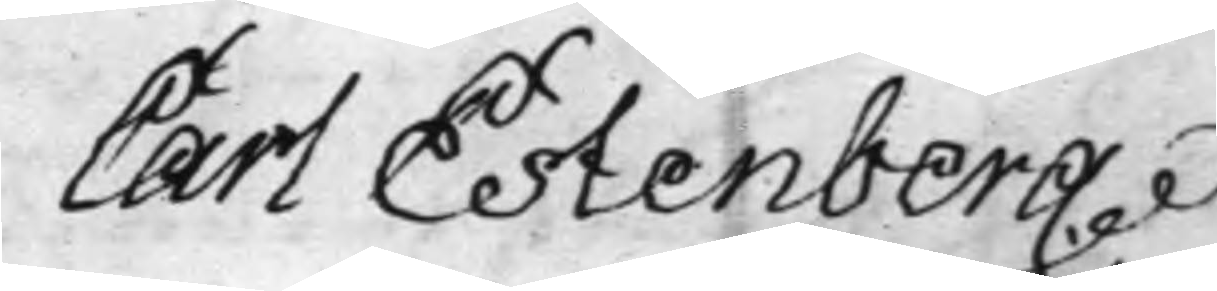Carl Estenberg.
